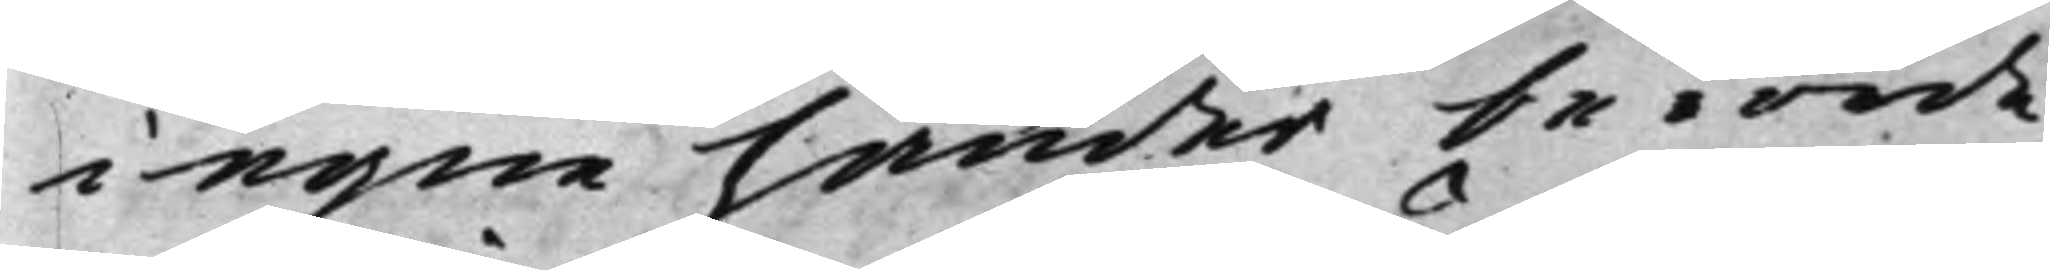i egne händer berörde
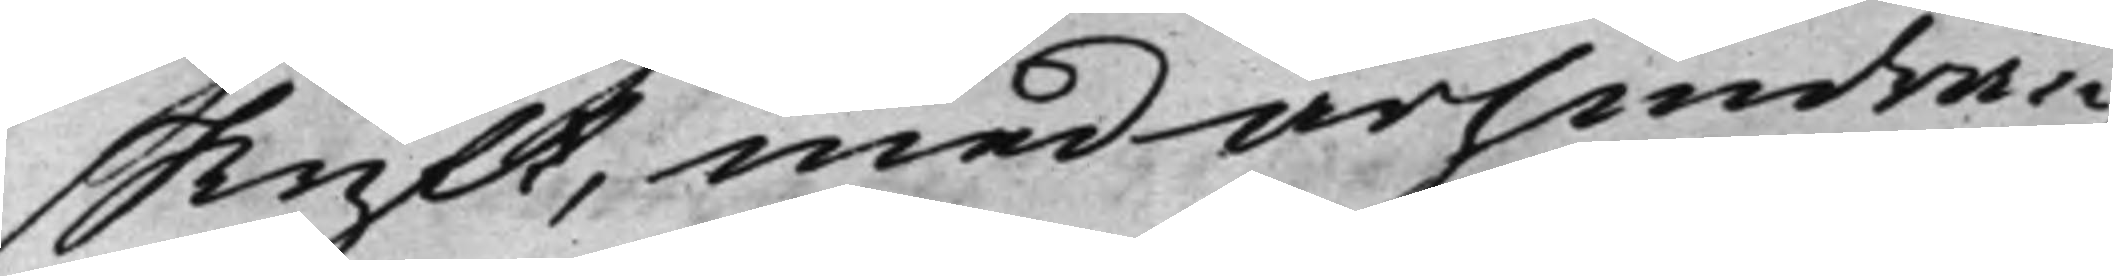skrift, med ärhindran,
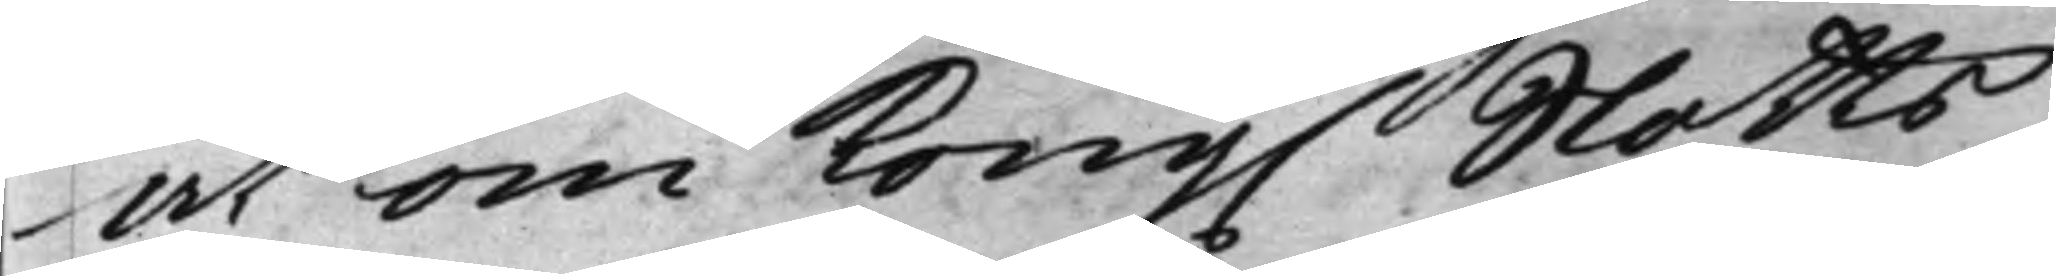at om Kong. Slotts¬
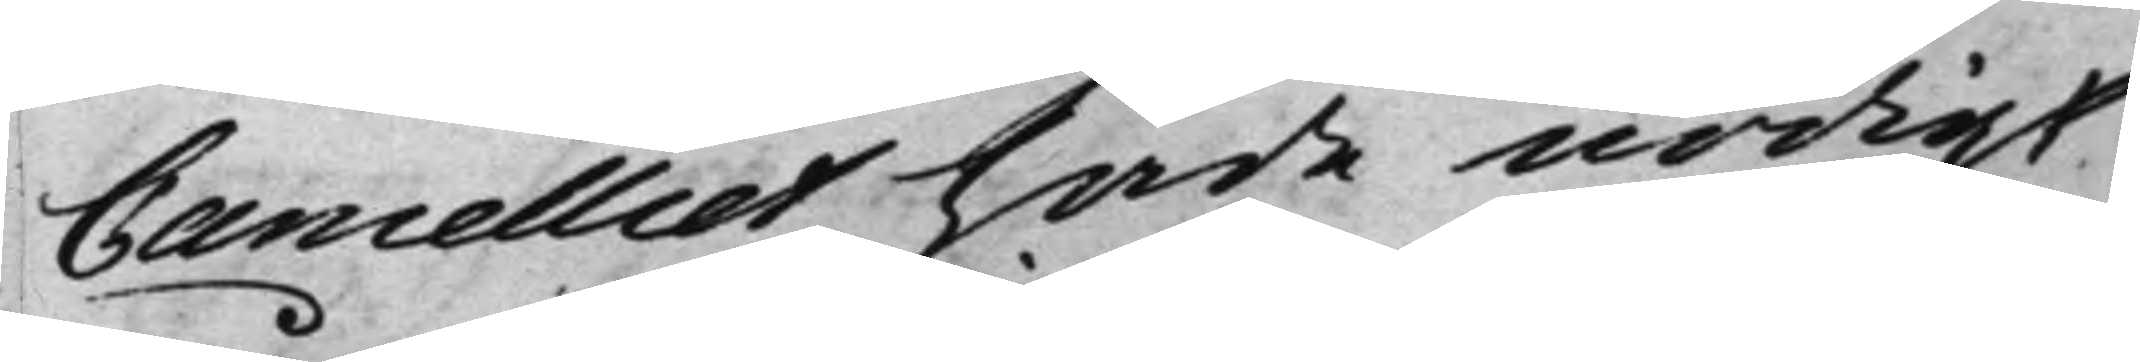Cancelliet hade nödigt
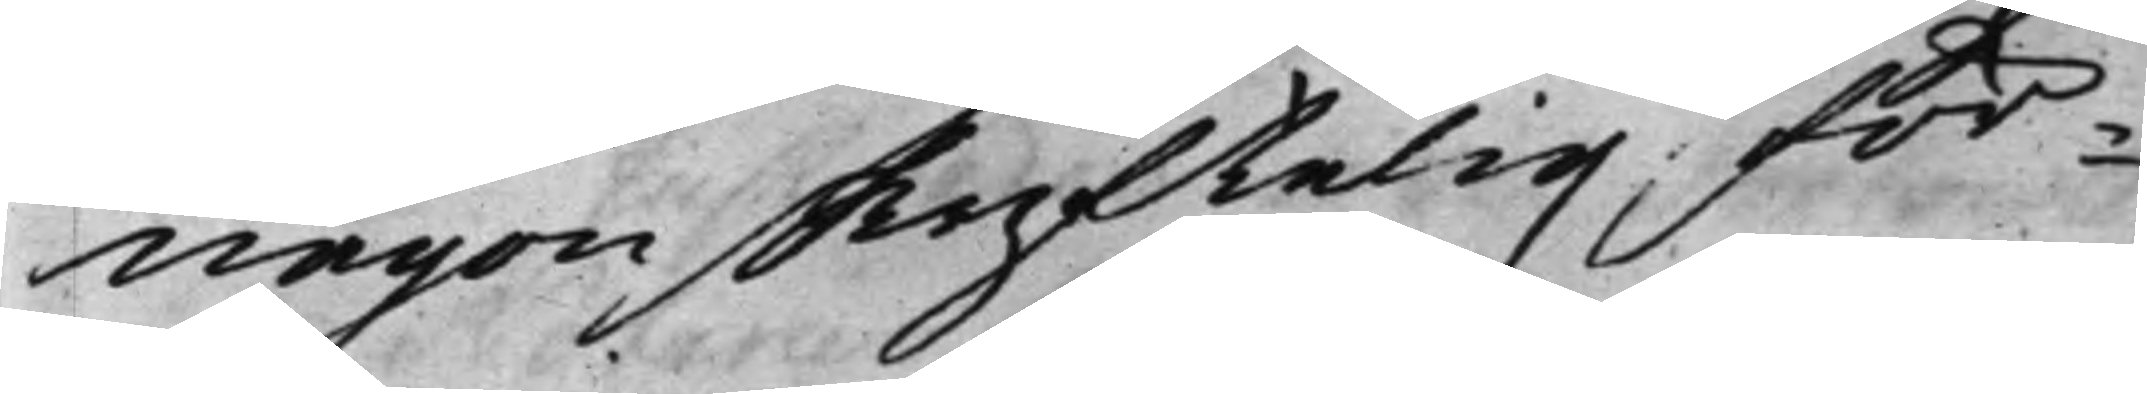någon skriftelig för¬
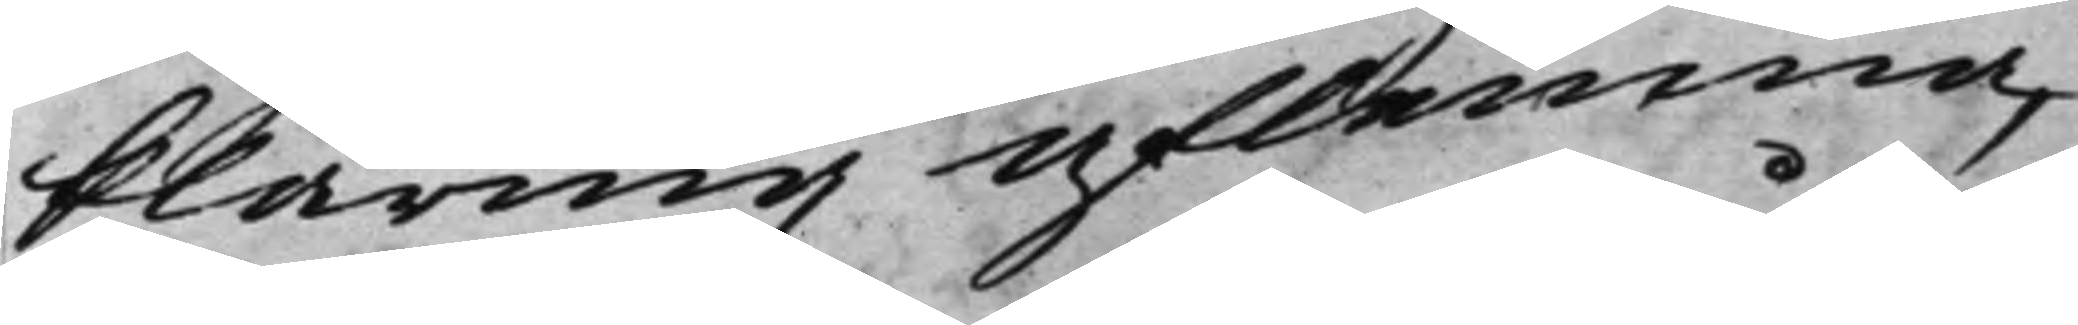klaring aflemna,
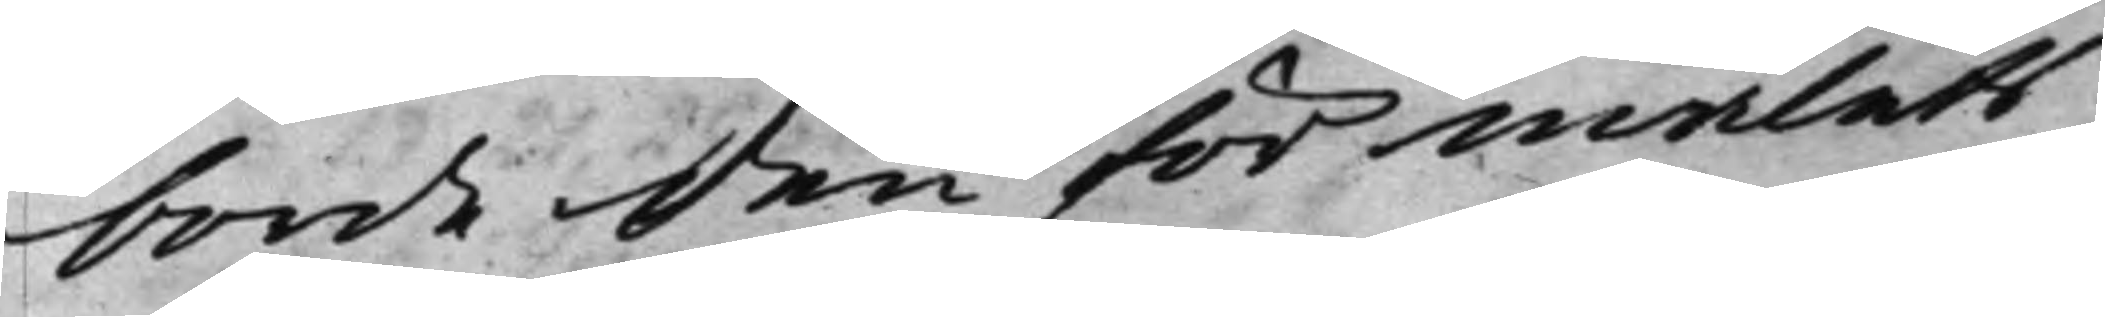borde den för målets
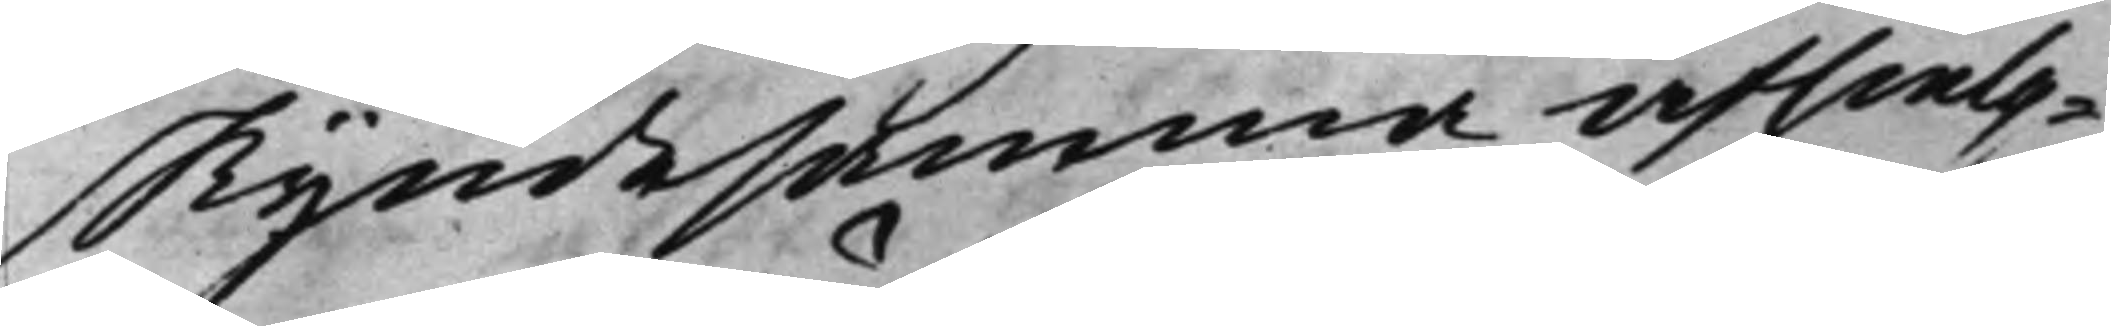skyndesamma afhielp¬
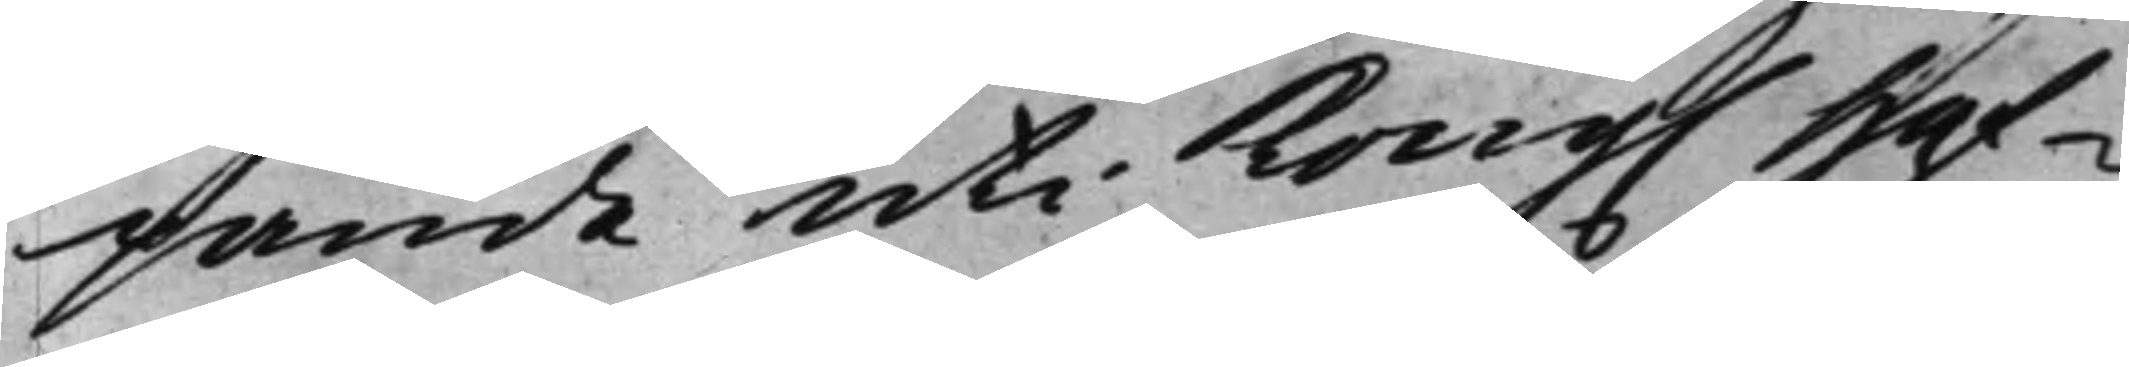pande uti Kong. Hof¬
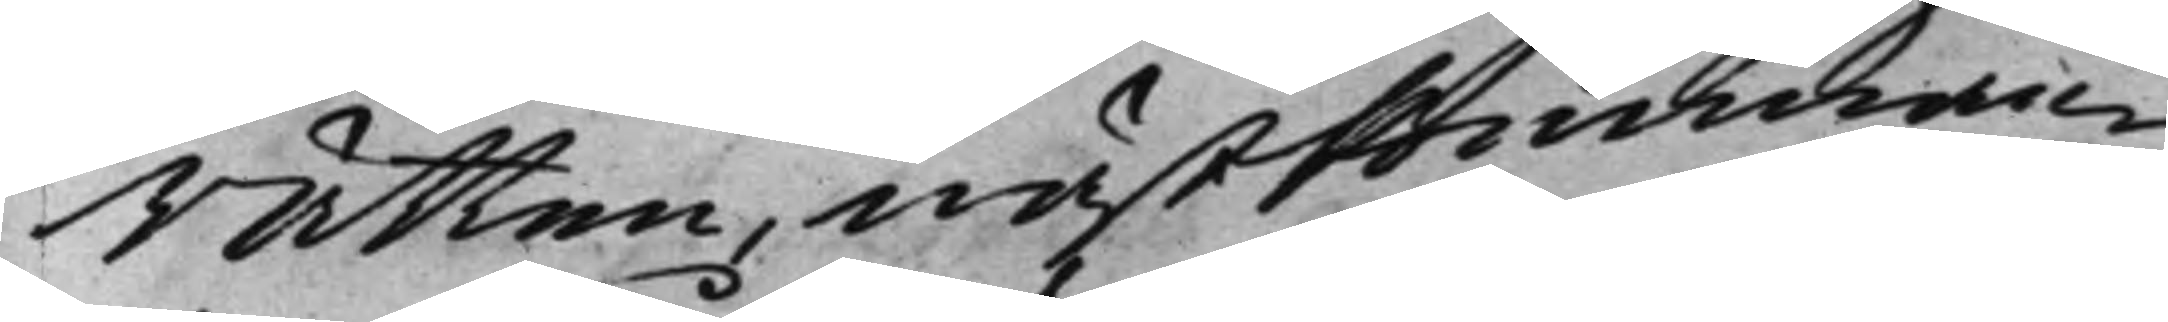Rätten, nästkomman¬
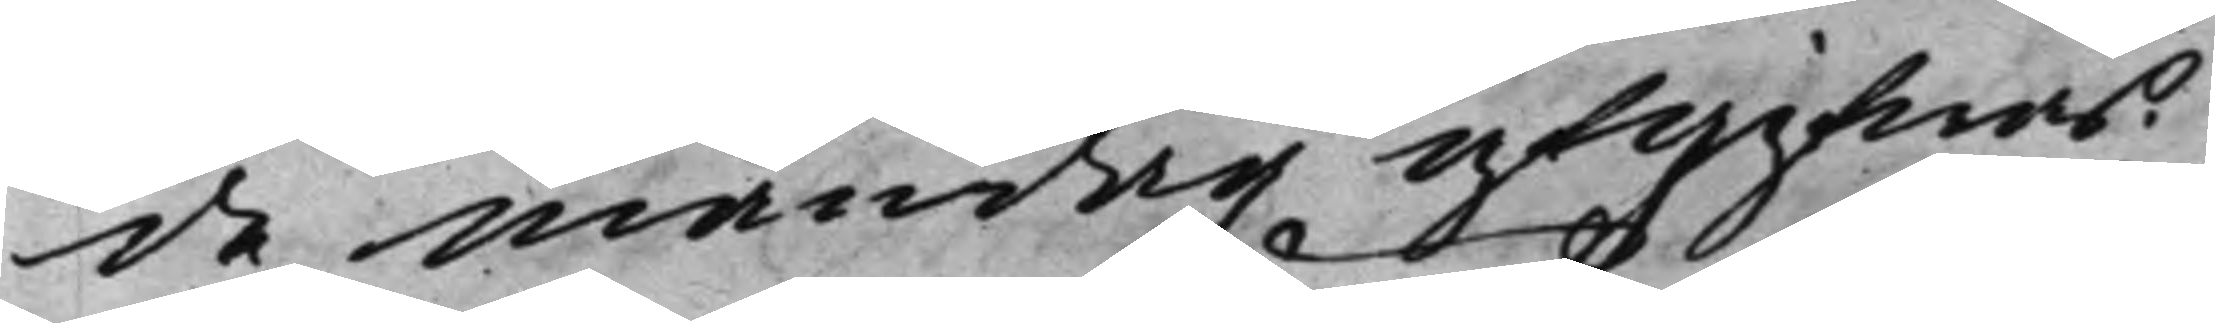de måndag afgifwas.
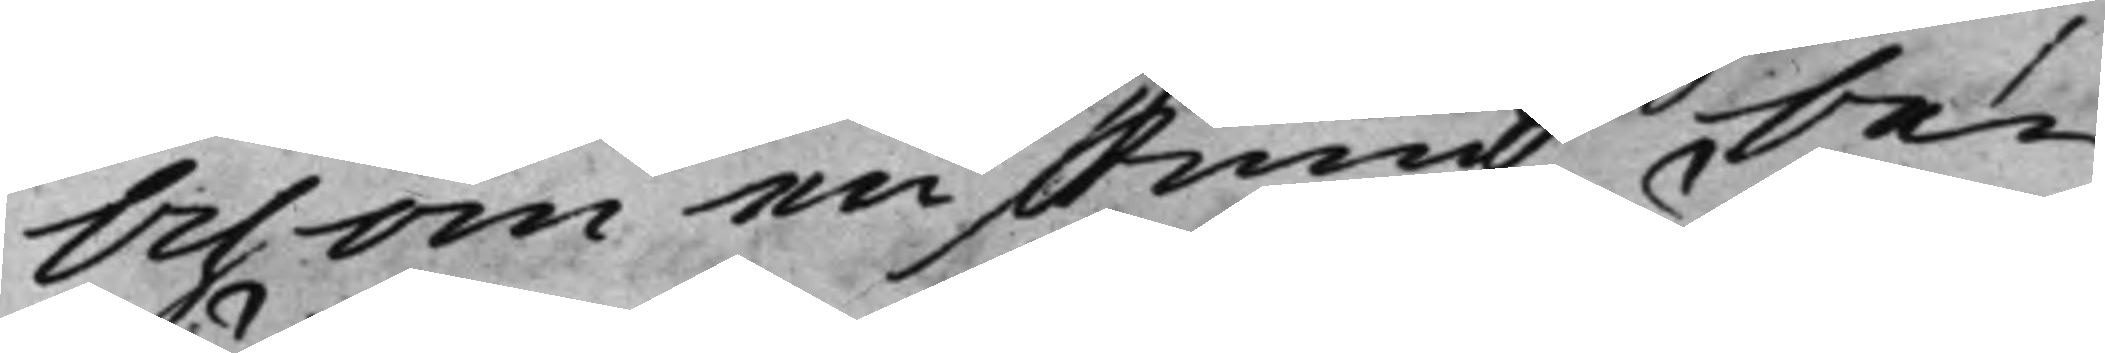Och om en stund be¬
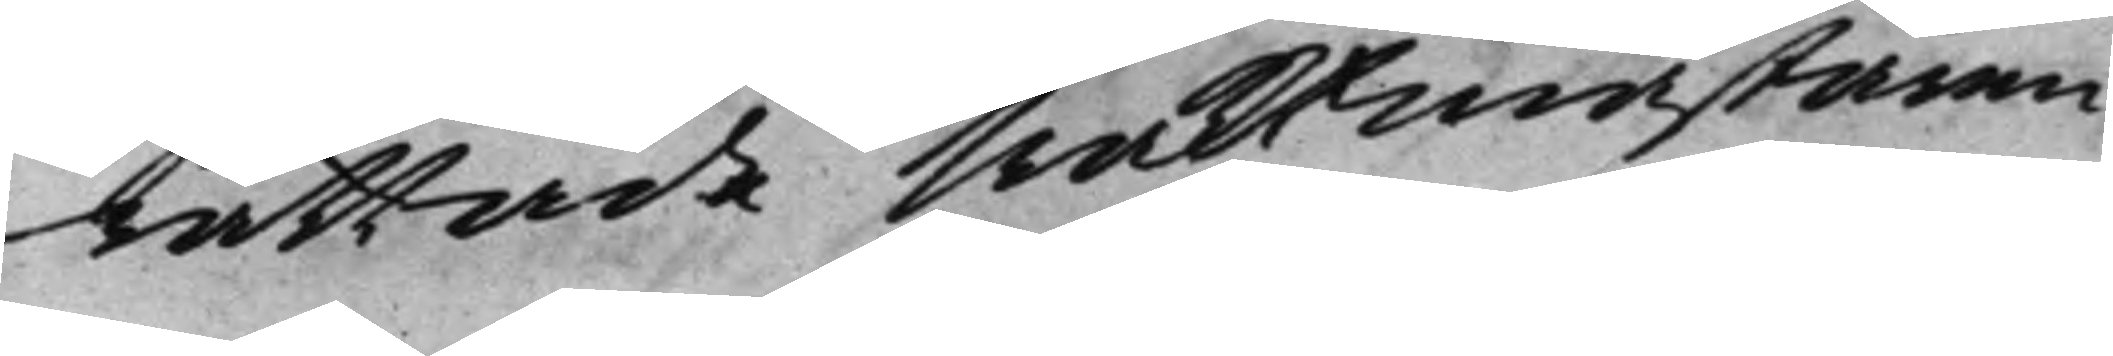rättade Waktmästaren
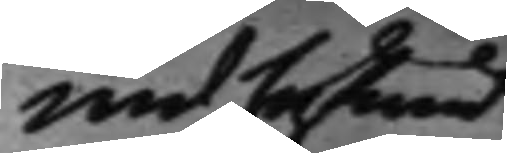wid hufwud¬
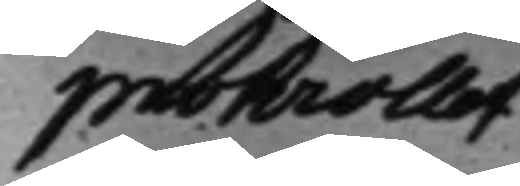protocollet
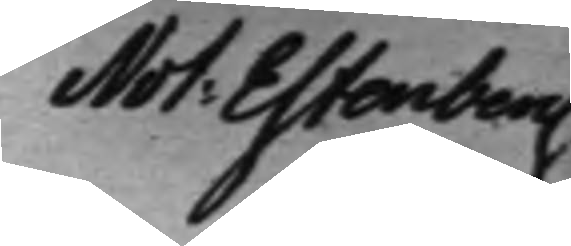Not: Estenberg
